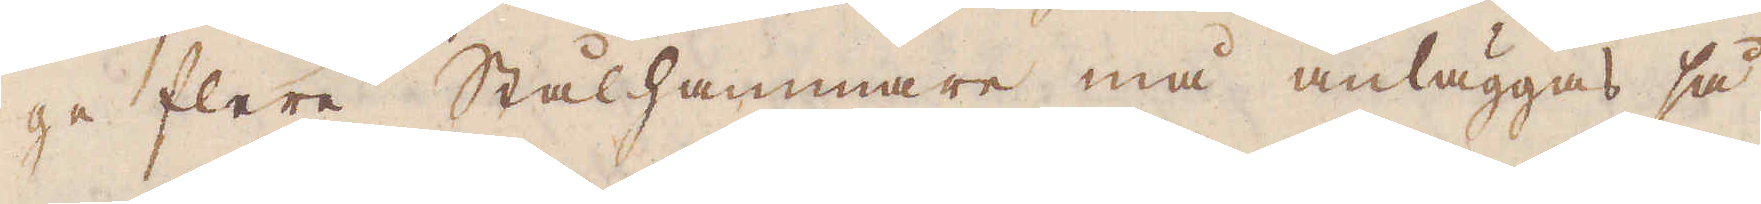ge flere Stålhammare må anläggas så
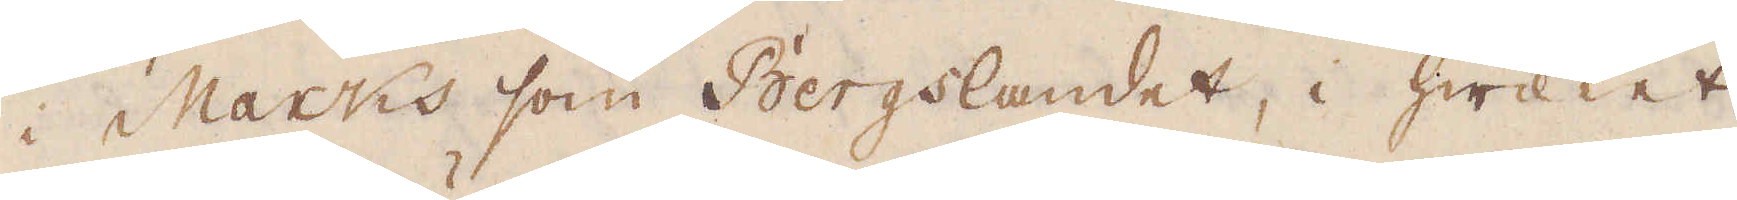i Marcks som Bergslandet, i hwilket
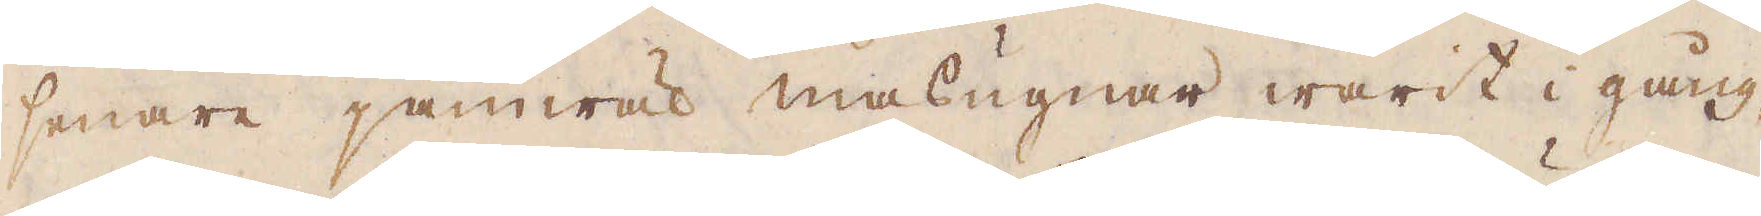senare jämwäl masugnar warit i gång,
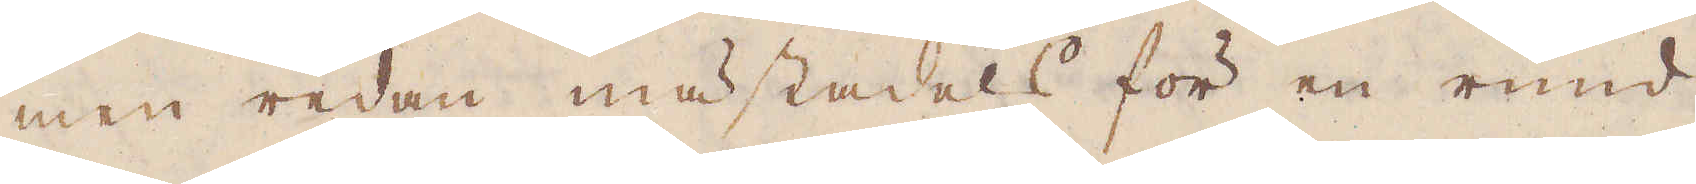men redan mästadels för en rund
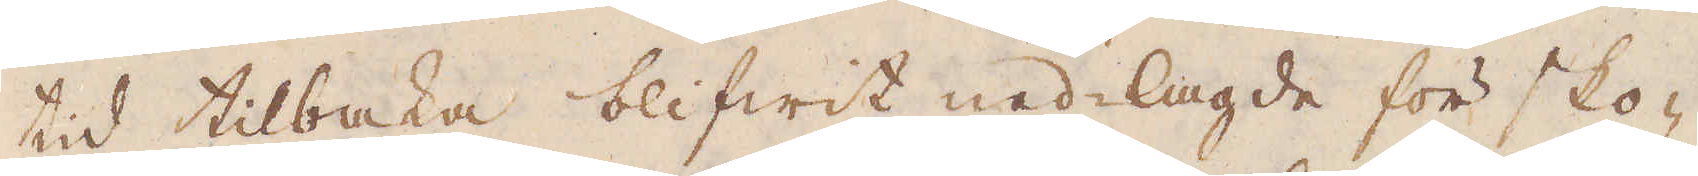tid tilbaka blifwit ned-lagde för sko-
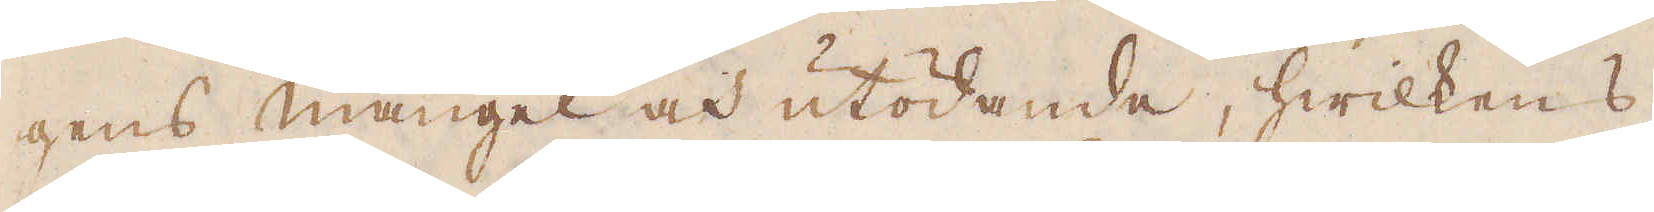gens mangel och utödande, hwilkens
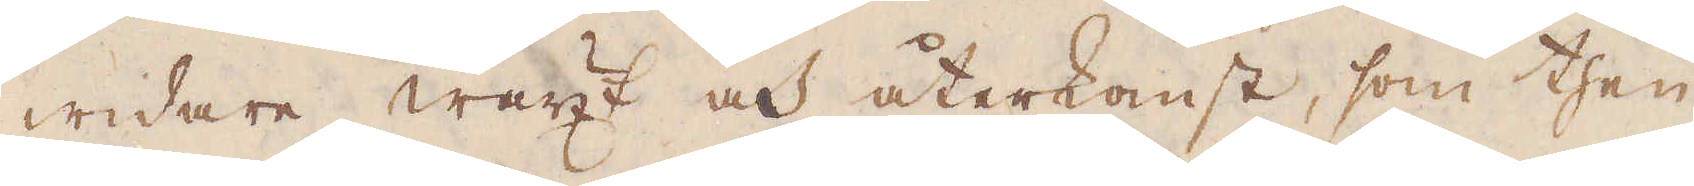widare wäxt och återkomst, som then
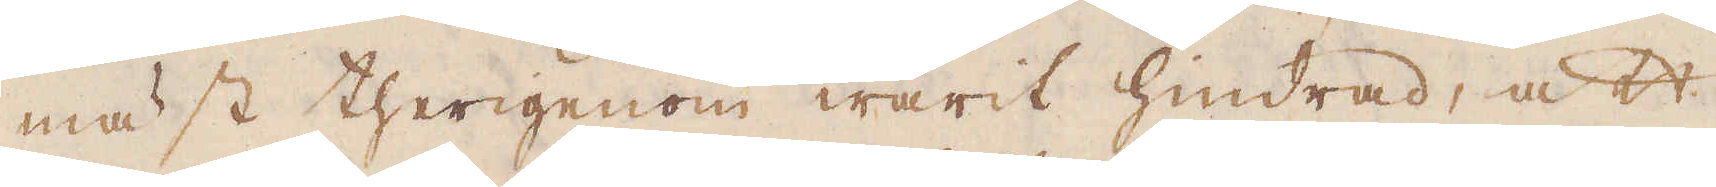mäst therigenom warit hindrad, att
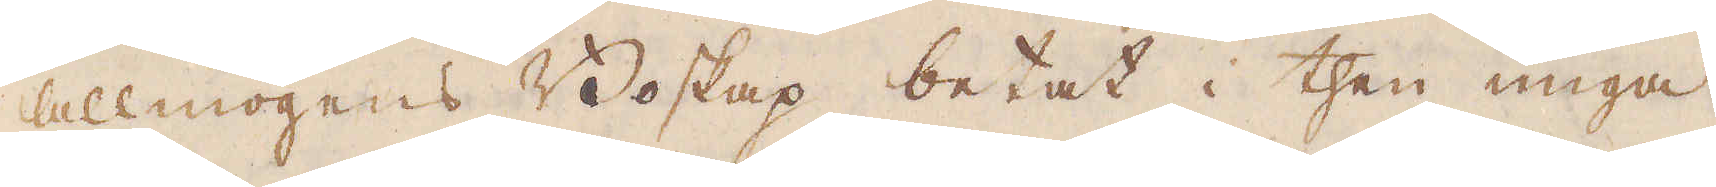allmogens Boskap betat i then unga
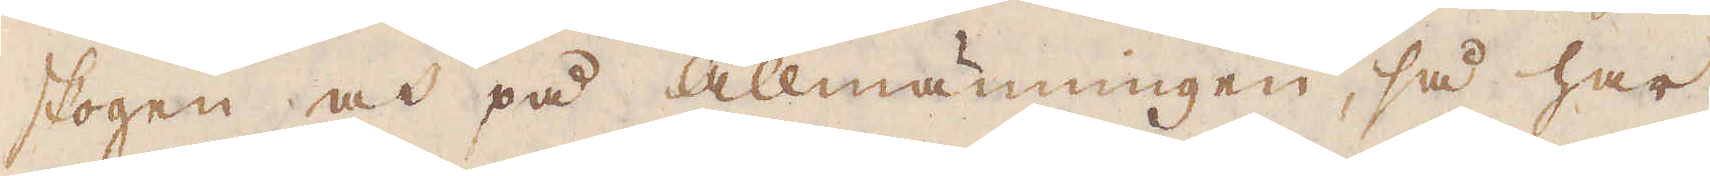skogen och på allmänningen, så har
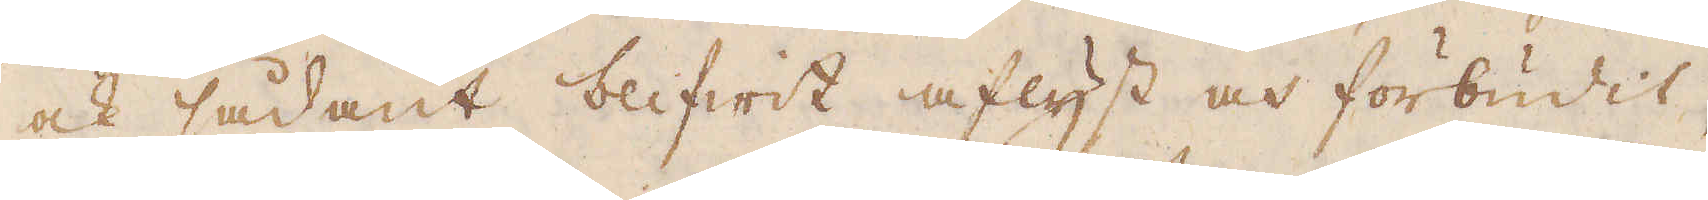ock sådant blifwit aflyst och förbudit,
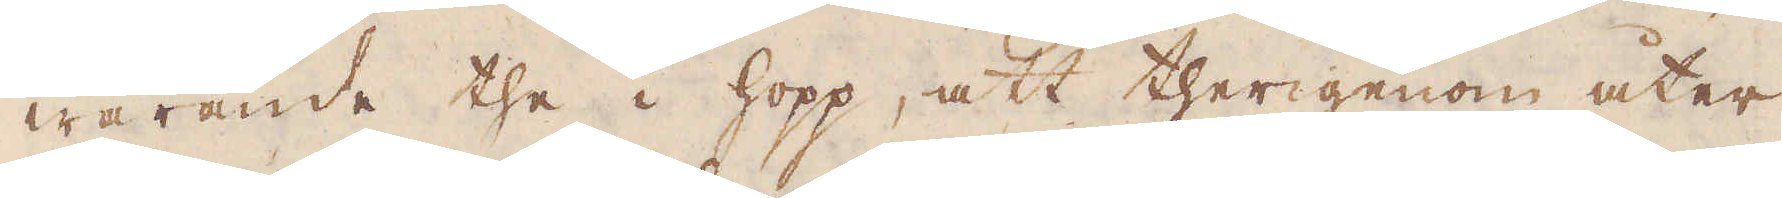warande the i hopp, att therigenom åter
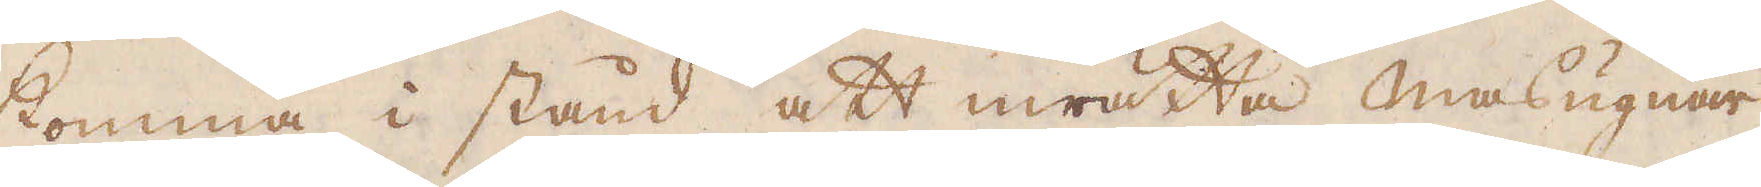komma i stånd att inrätta masugnar
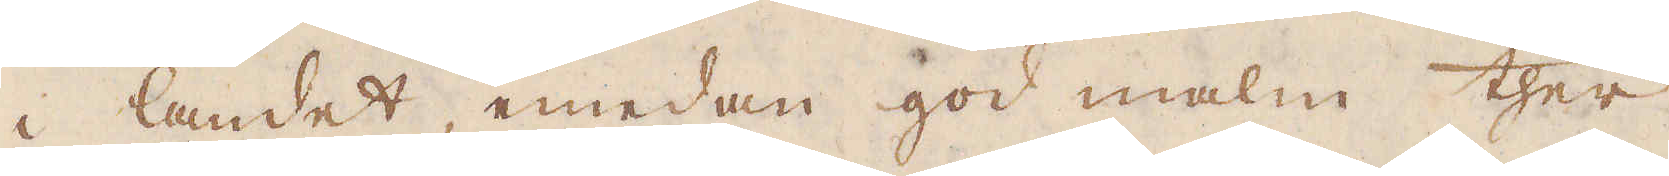i landet, emedan god malm ther
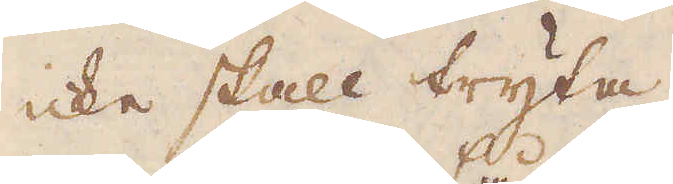icke skall tryta.
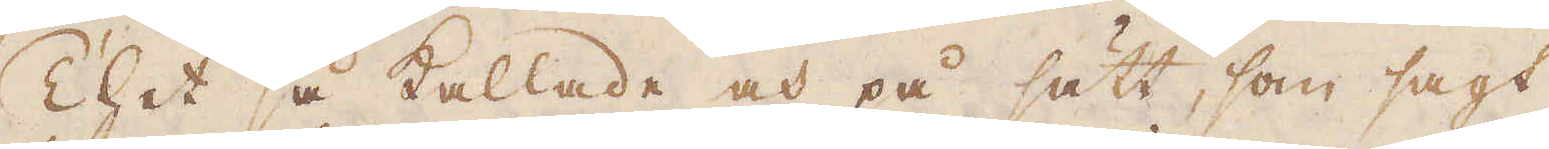Thet så kallade och på sätt, som sagt
